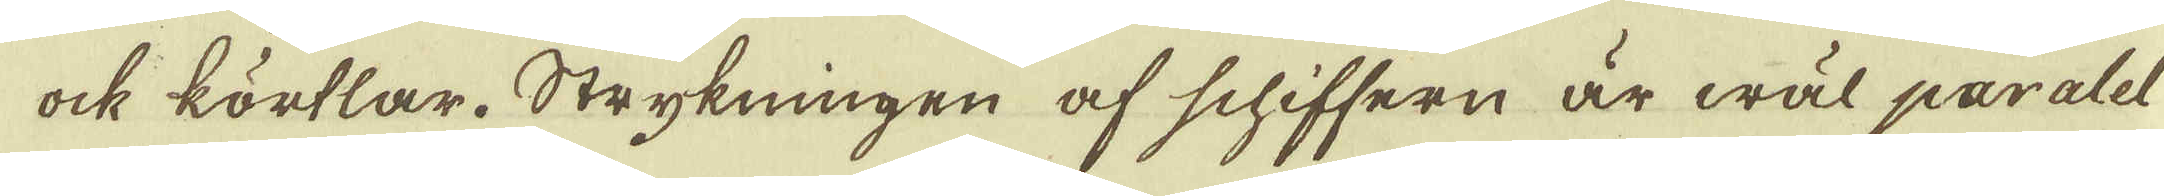ock körtlar. Strykningen af schiffern är wäl paralel
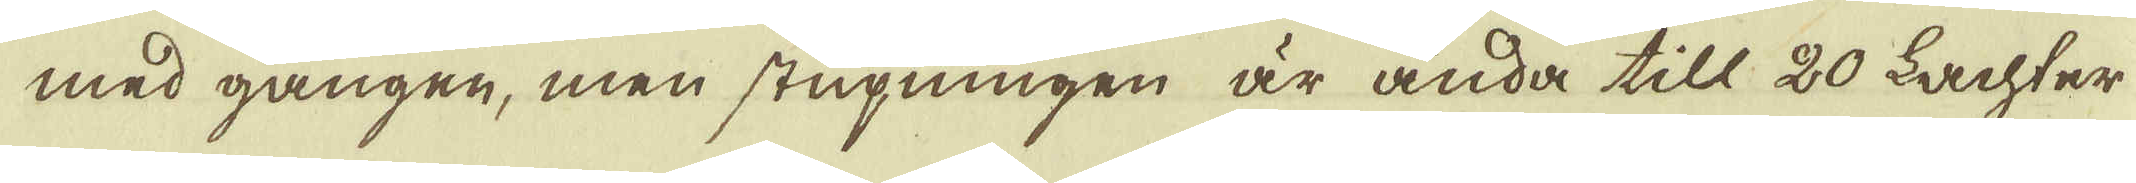med gången, men stupningen är ända till 20 Lachter
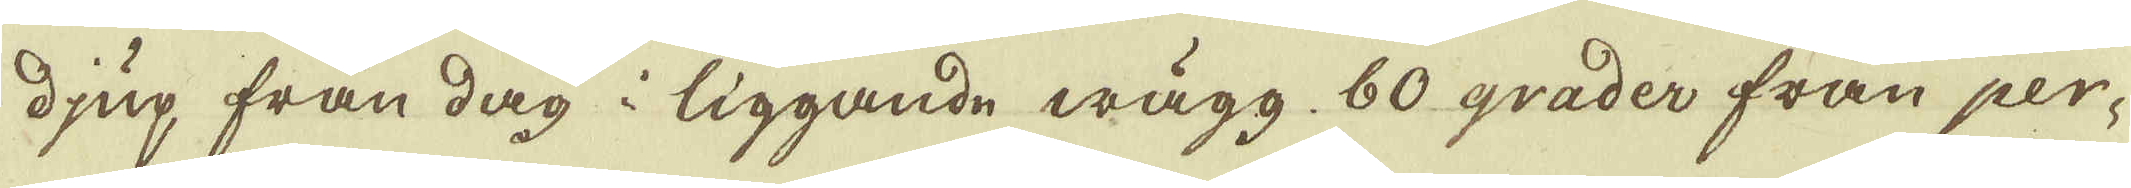djup från dag i liggande wägg, 60 grader från per-
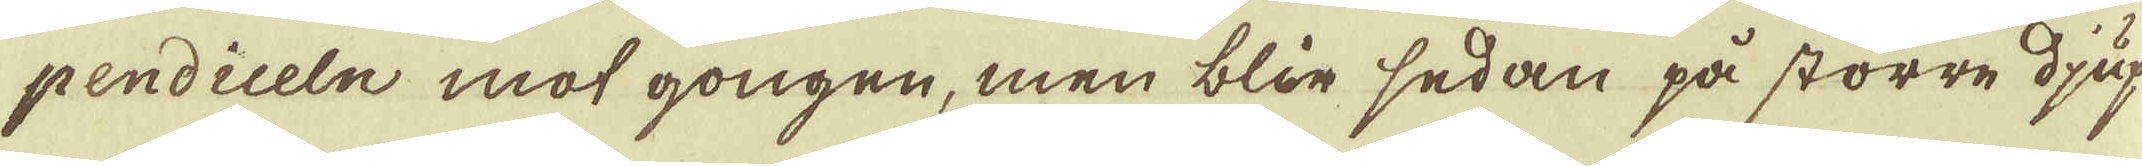pendiceln mot gongen, men blir sedan på större djup
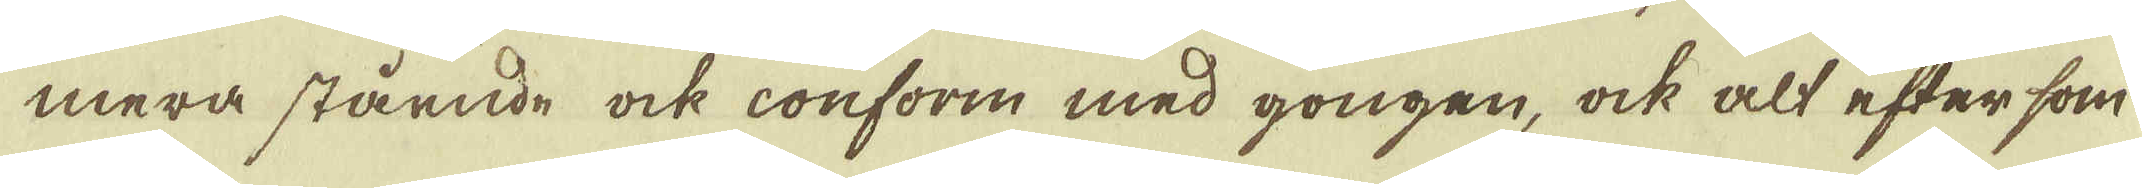mera stående ock conform med gongen, ock alt efter som
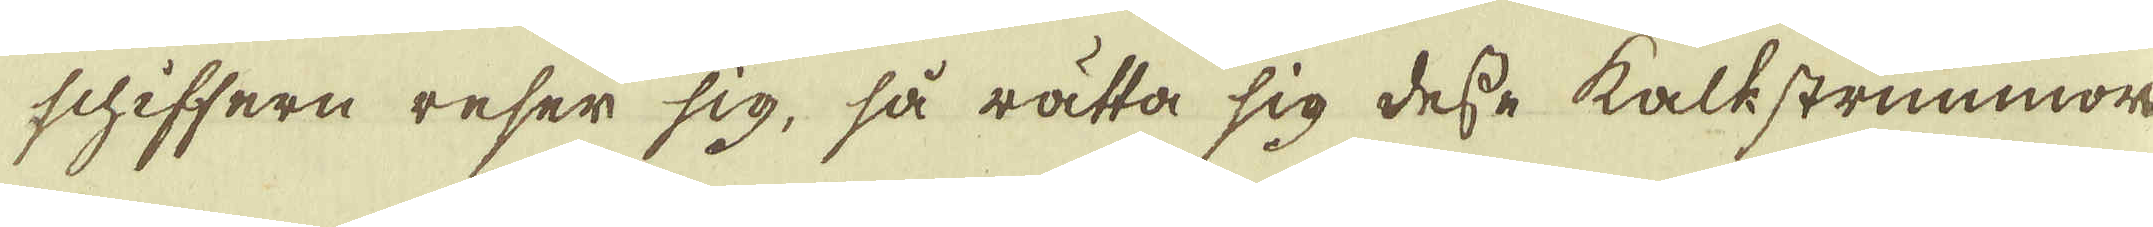schiffern reser sig, så rätta sig desse kalkstrimmor
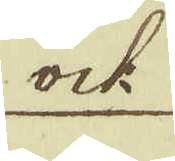ock
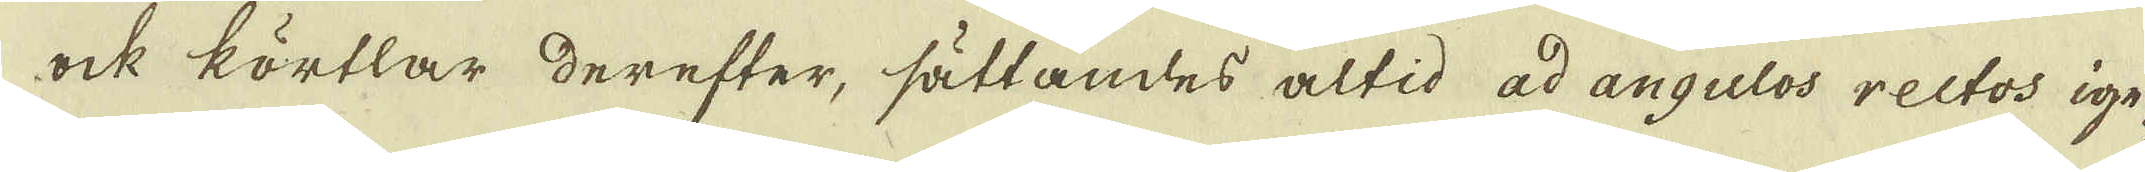ock körtlar derefter, sättades altid ad angulos rectos ige-
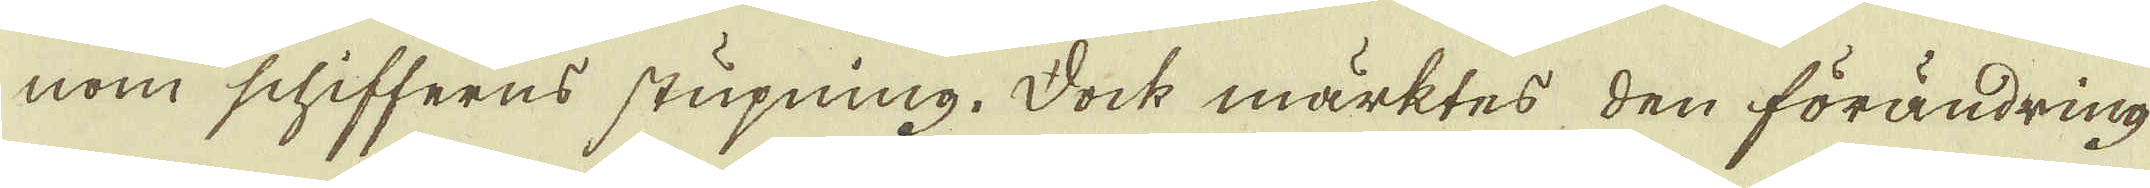nom schifferns stupning. Dock märktes den förändring
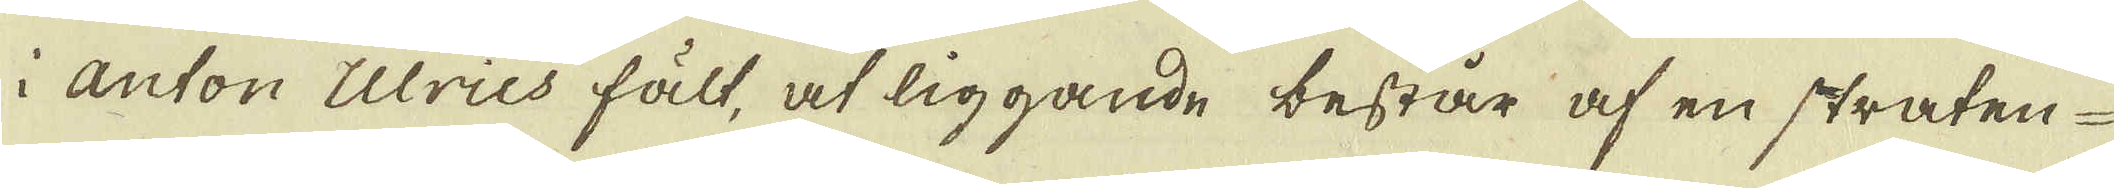i Anton Ulrius fält, at liggande består af en straten
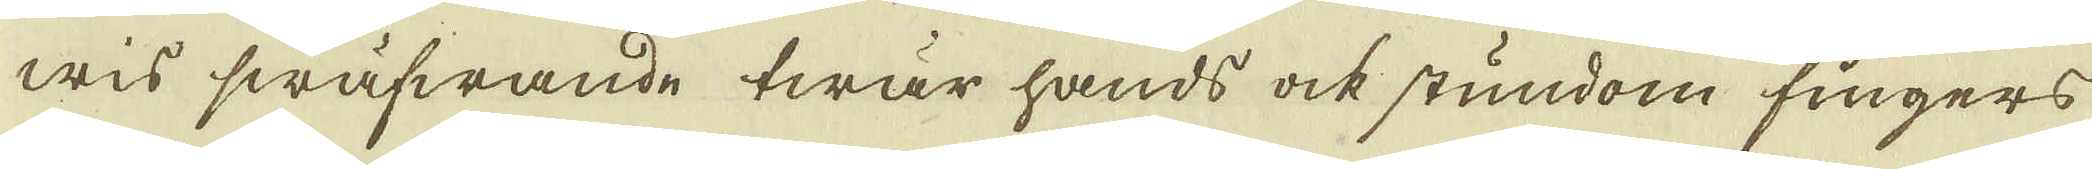wis swäfwande twär hands ock stundom fingers
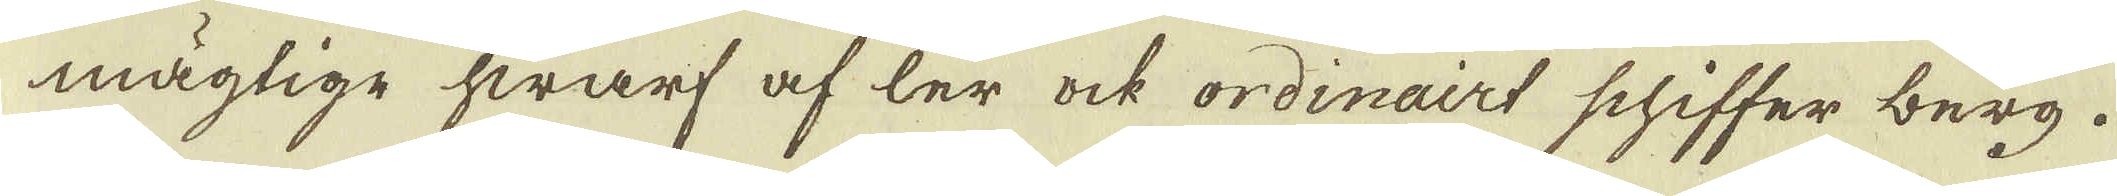mägtige hwarf af ler ock ordinairt schiffer berg.
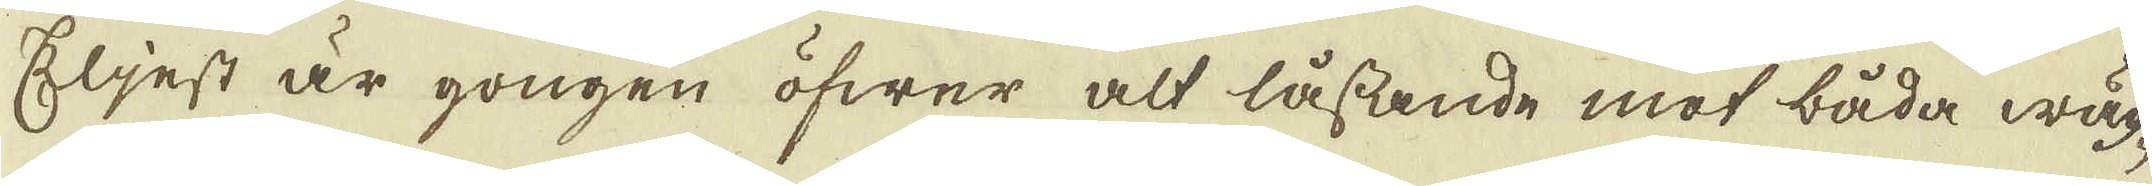Eljest är gongen öfwer alt låssande mot båda wäg-
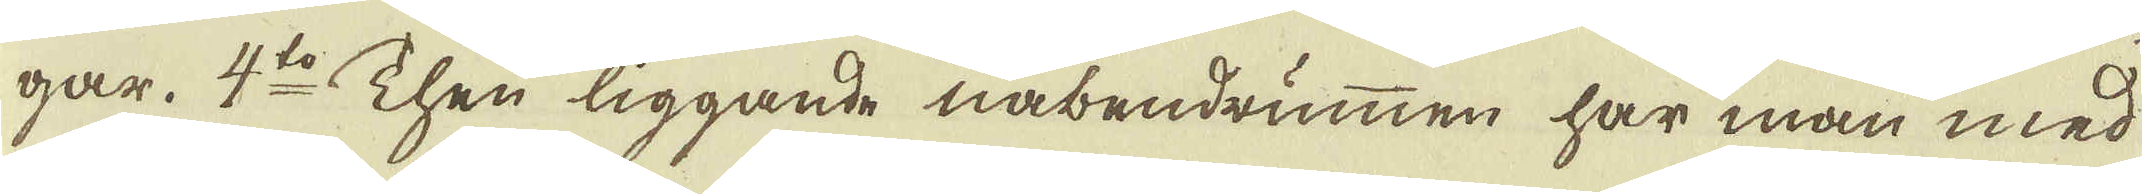gar. 4:to Then liggande nåbendrummen har man med
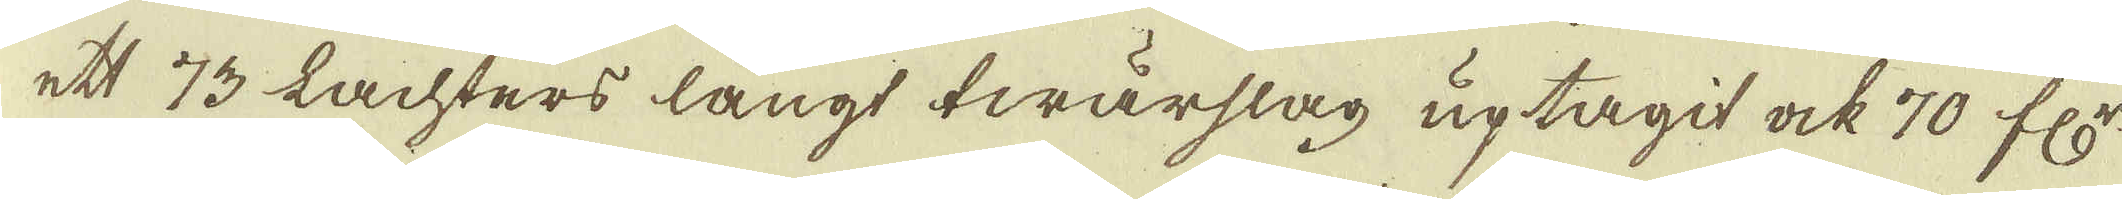ett 73 Lachters långt twärslag uptagit ock 70 fr:
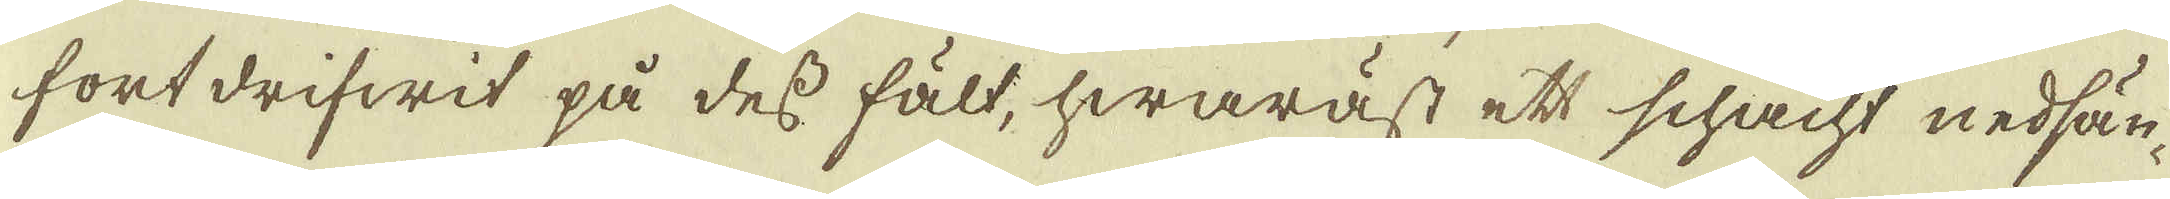fortdrifwit på desse fält, hwaräst ett schacht nedsän-
